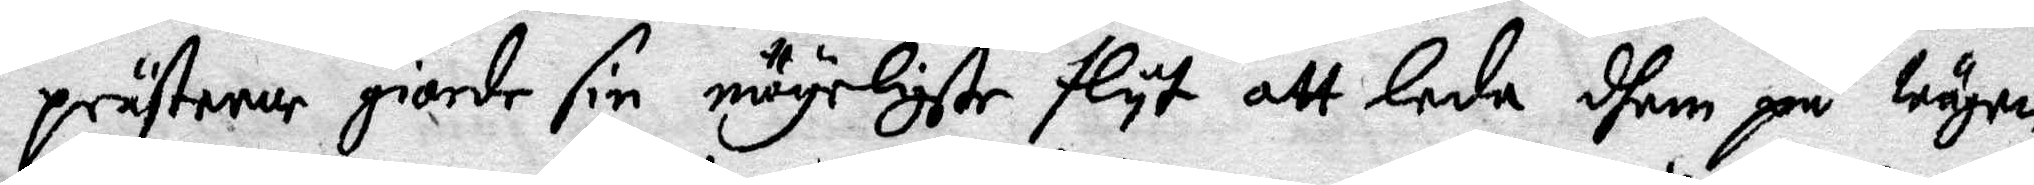prästerne giorde sin mögeligste flyt att leda dhem på wägen
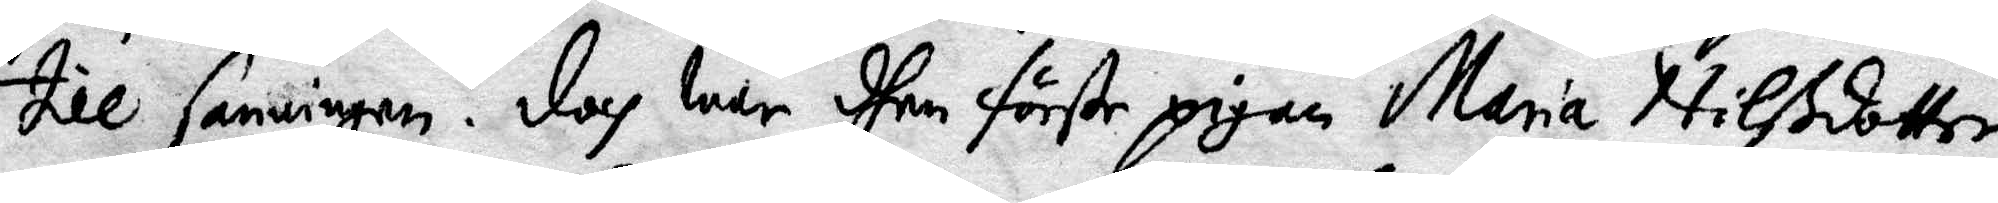till sanningen. Doch war förste pigan Maria Nilsdotter
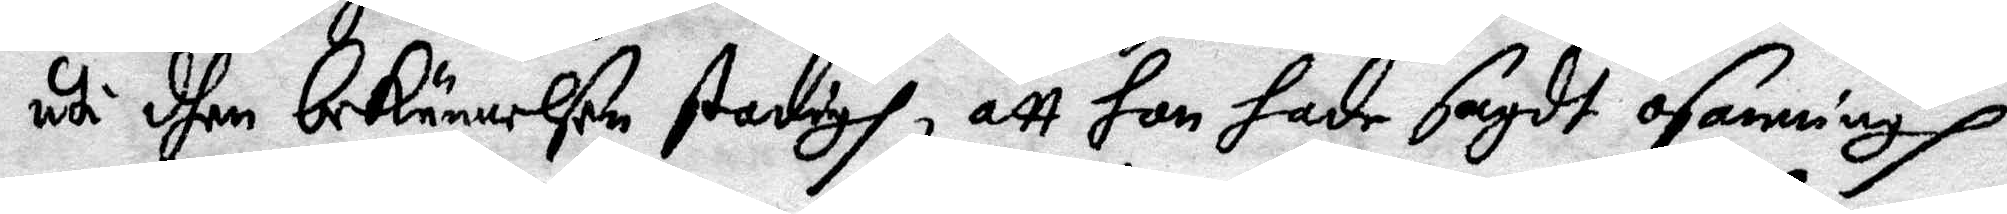uti dhen bekännelsen stadigh, att hon hade sagdt osanning
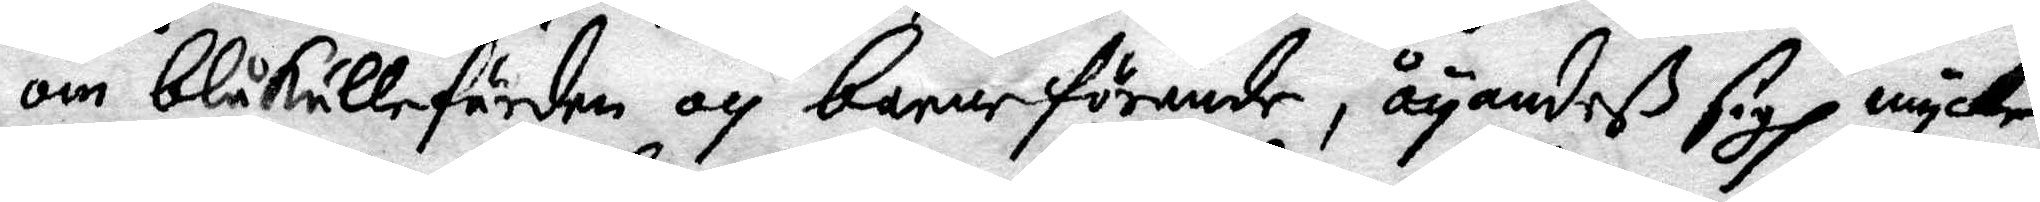om blåkullefärden och barneförande, åyandeß sigh mycke
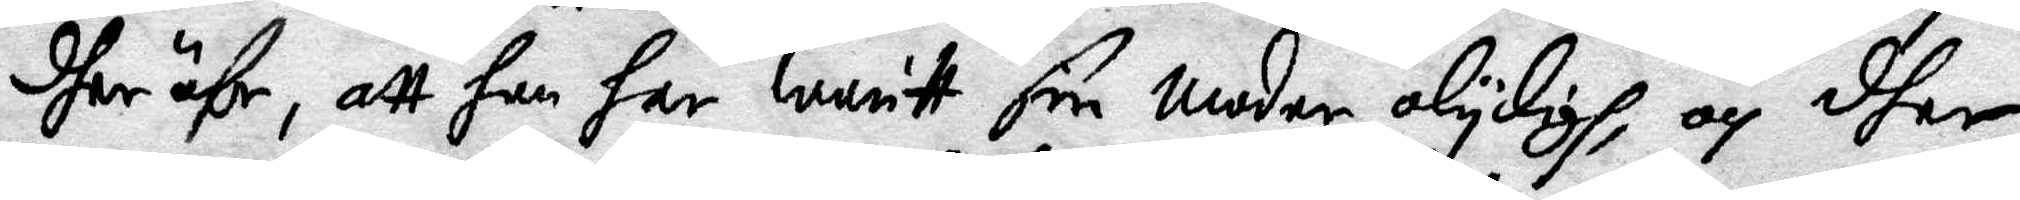dher öfr, att hon har waritt sin moder olycligh, och dher
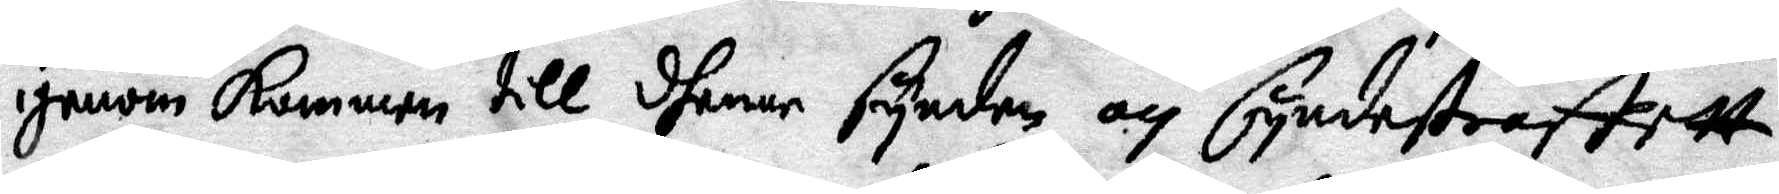ijenom kommen till dhenne synden och syndestraffet.
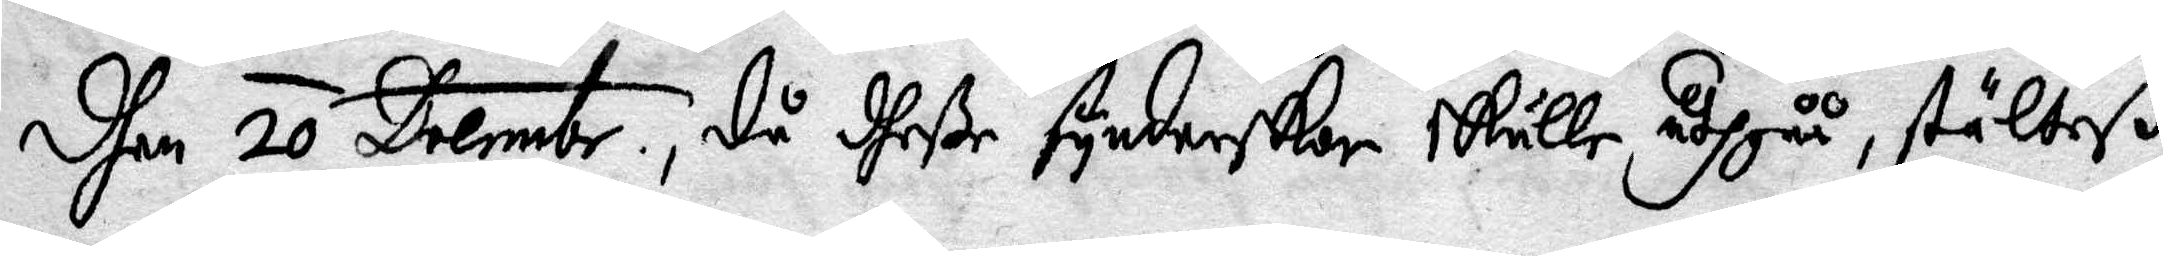dhen 20 Decembr, då dheße synderskor skulle uthgåå stälteß
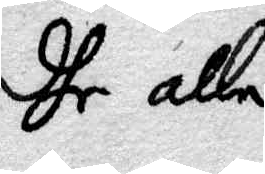dhe alle
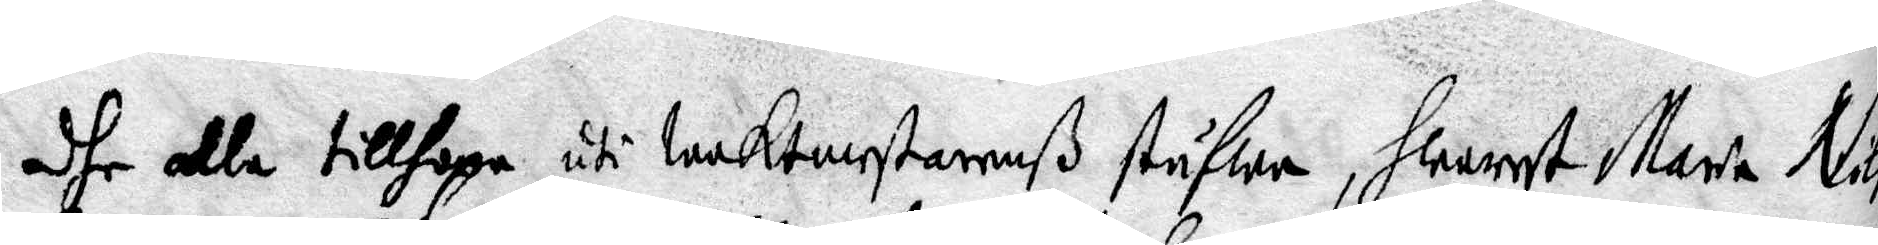dhe alla tillhopa uti Waktmestarenß stufwa, hwarest Maria Nils¬
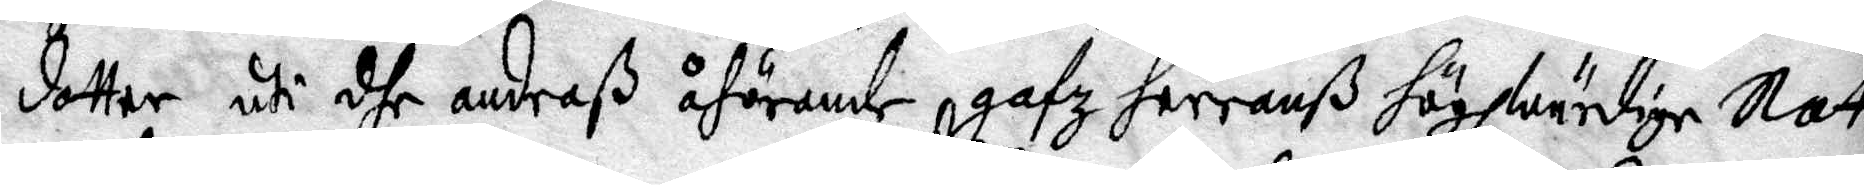dotter uti dhe andraß åhörande gafz herranß högwurdige Natt¬
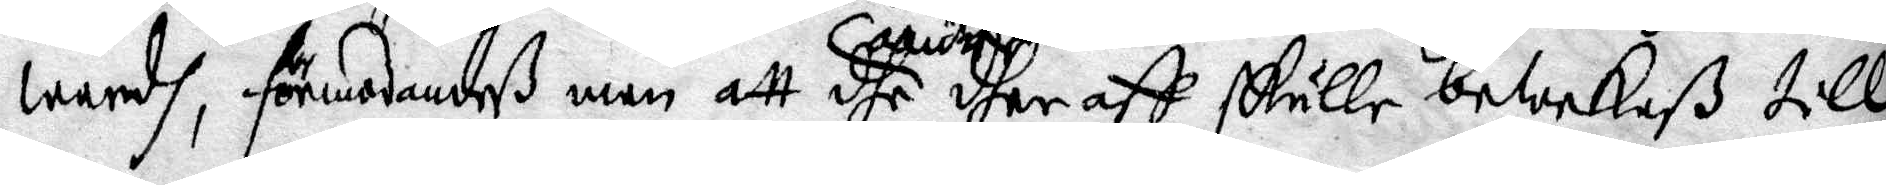wardh, förmodandeß man att dhe andre dher aff skulle bewekaß till
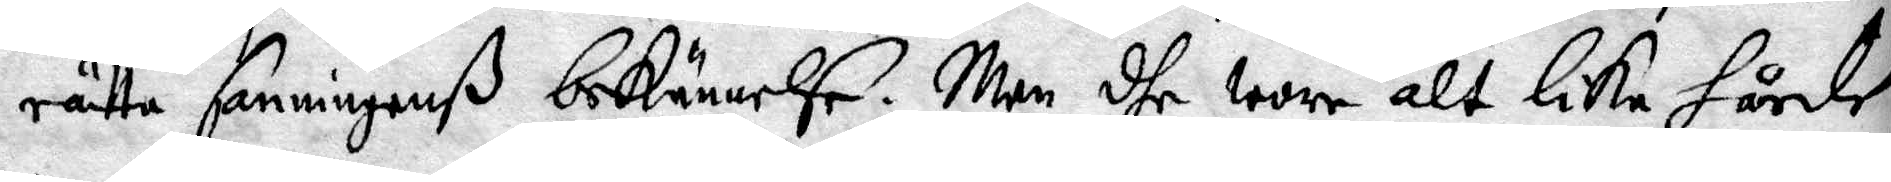rätta sanningenß bekännelse. Men dhe wore alt lika hårde
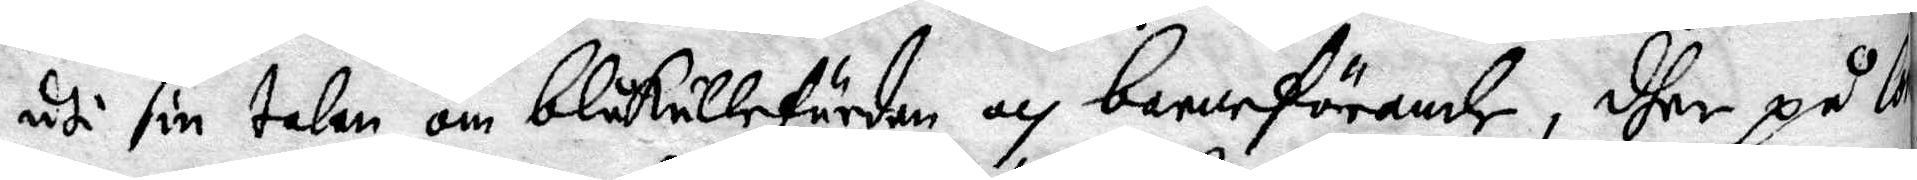uti sin talan om blåkullefärden och barneförande, dher på Co¬
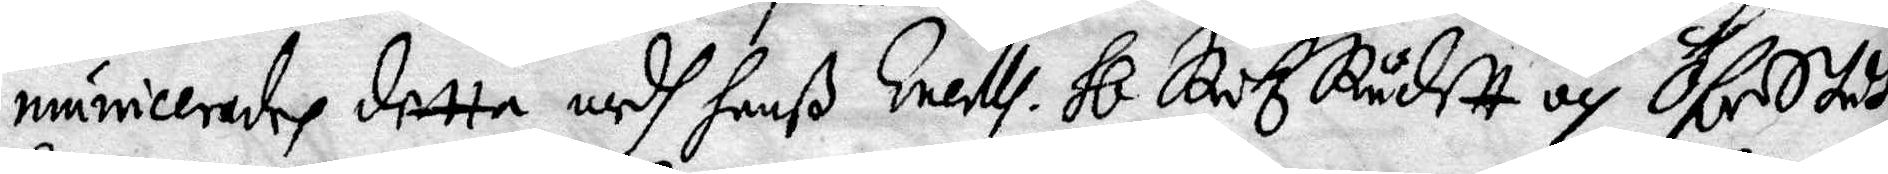municerades detta medh hanß Exells. Hl Riksrådet och Öfstedt¬
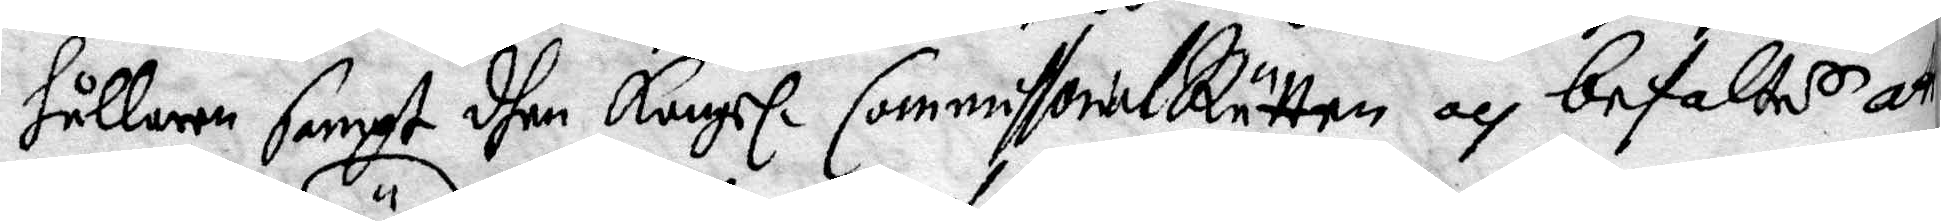hållaren sampt dhen Kongl. Commissorialrätten och befaltes att
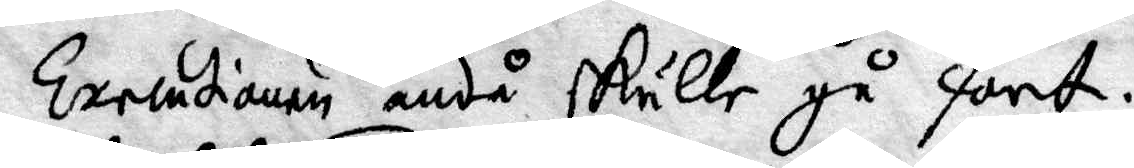Executionen ändå skulle gå fort.
